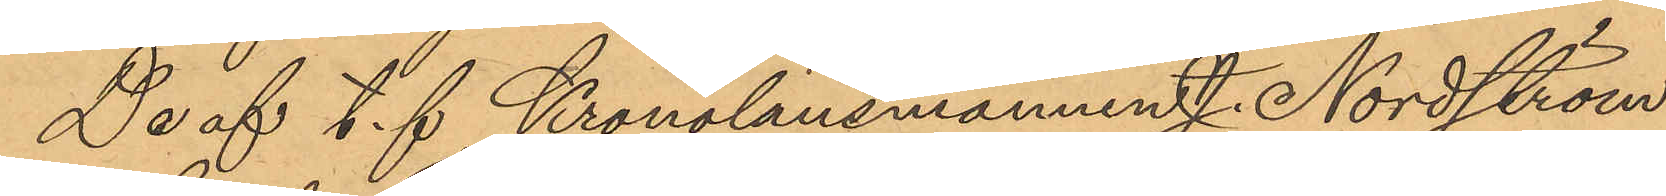De af t. f Kronolänsmannen J. Nordström
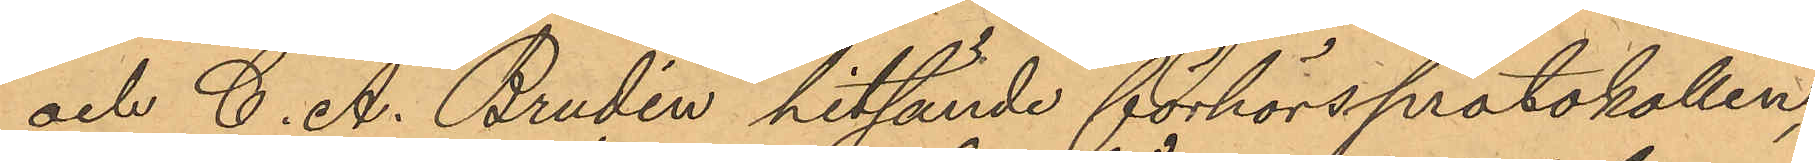och C. A. Brudin hitsände förhörsprotokollen,
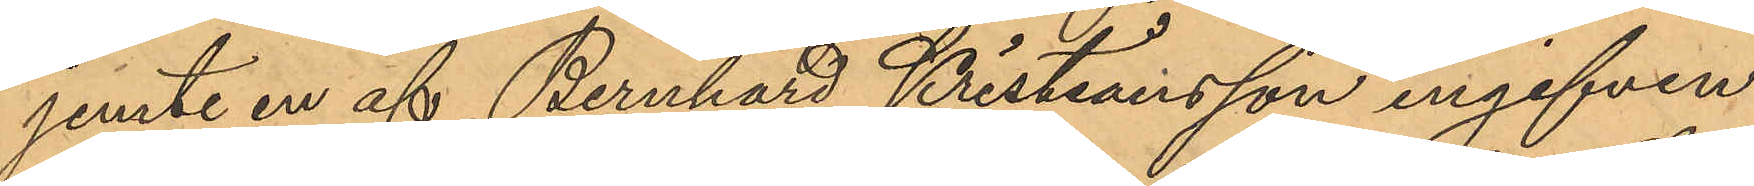jemte en af Bernhard Kristiansson ingifven
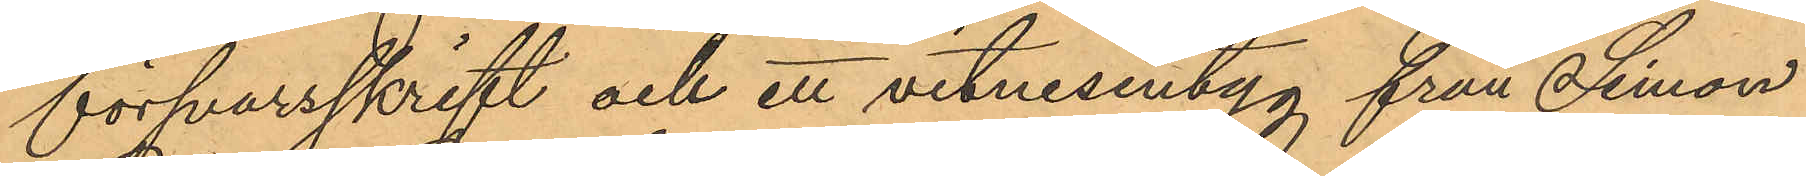försvarsskrift och ett vitnesentyg från Simon
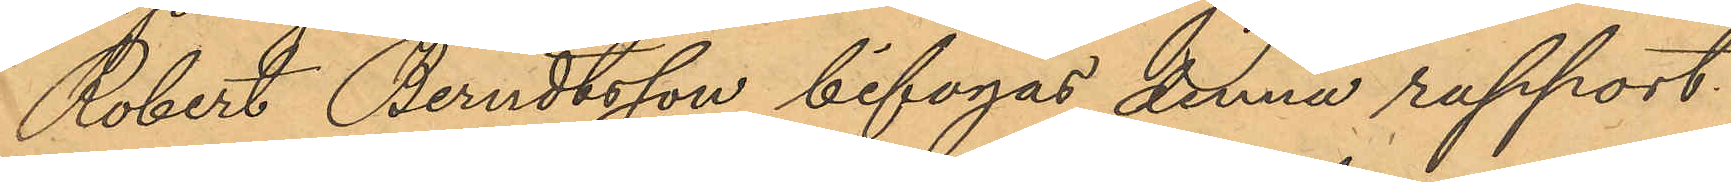Robert Berndtsson bifogas denna rapport.
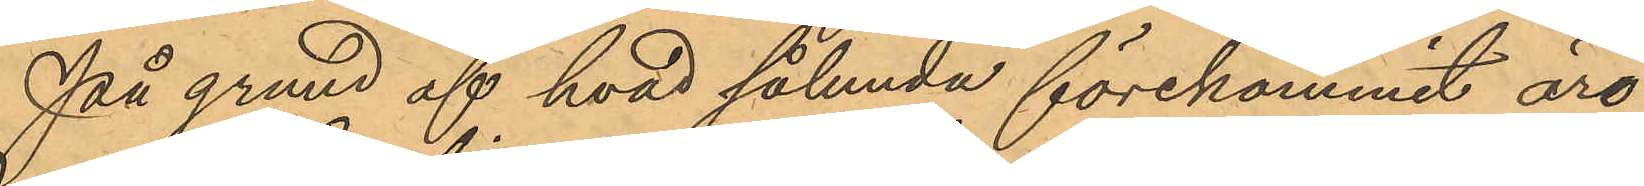På grund af hvad sålunda förekommit äro
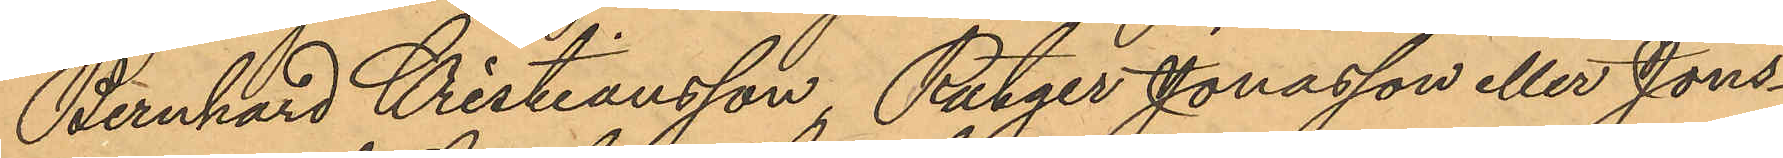Bernhard Kristiansson, Rutger Jonasson eller Jons¬
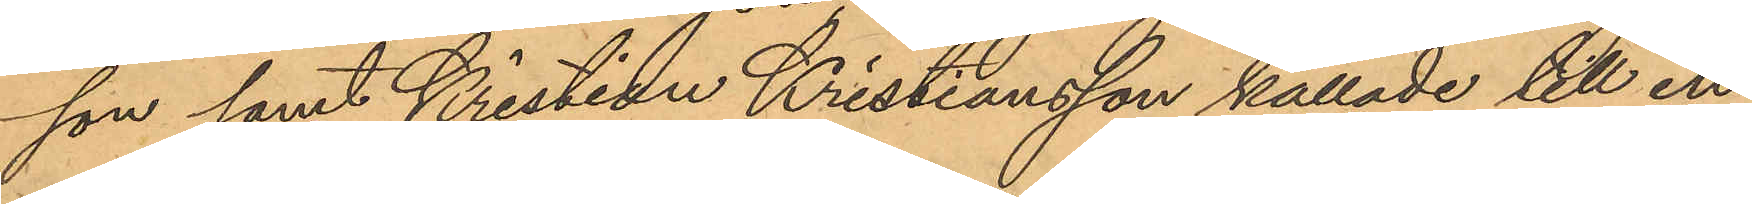son samt Kristian Kristiansson kallade till in¬
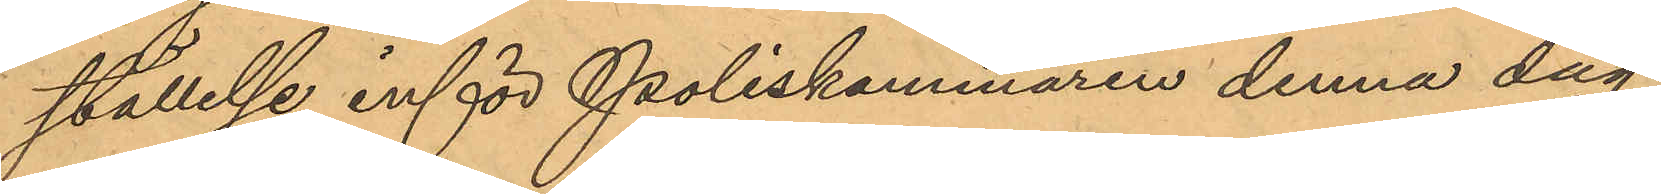ställelse inför Poliskammaren denna dag.
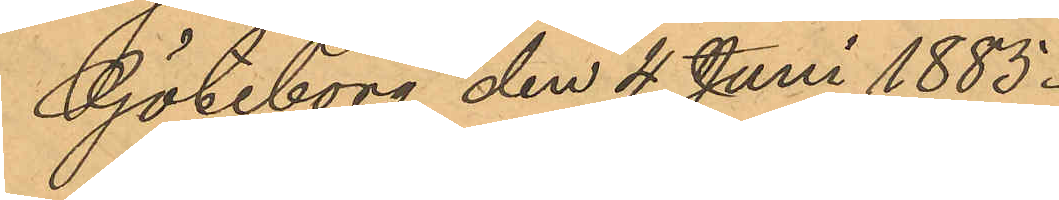Göteborg den 4 Juni 1885.
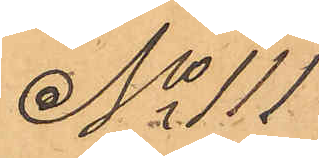No 111
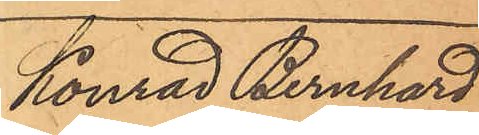Konrad Bernhard
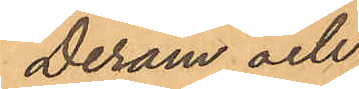Deram och
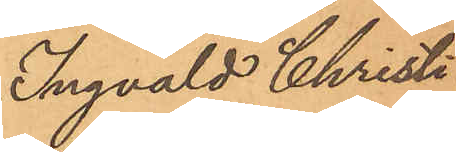Ingvald Christi¬
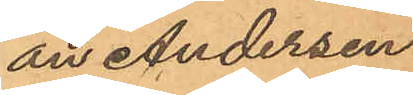an Andersen
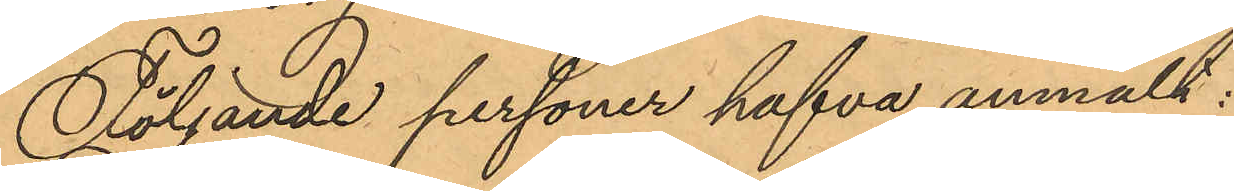Följande personer hafva anmält:
